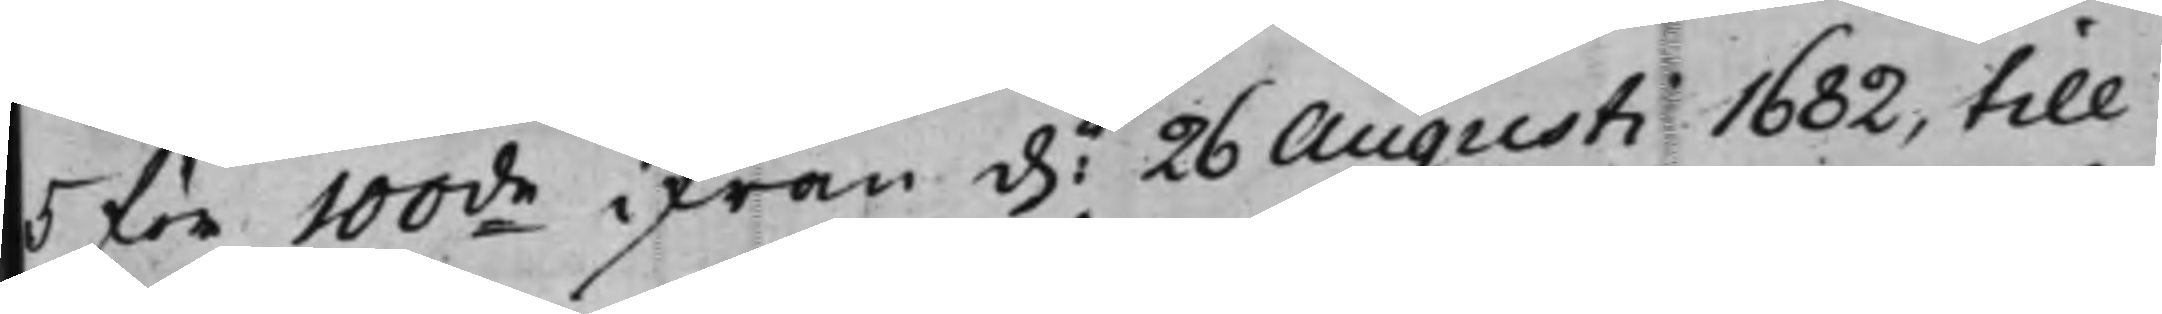5 för 100de ifrån d. 26 Augusti 1682, till
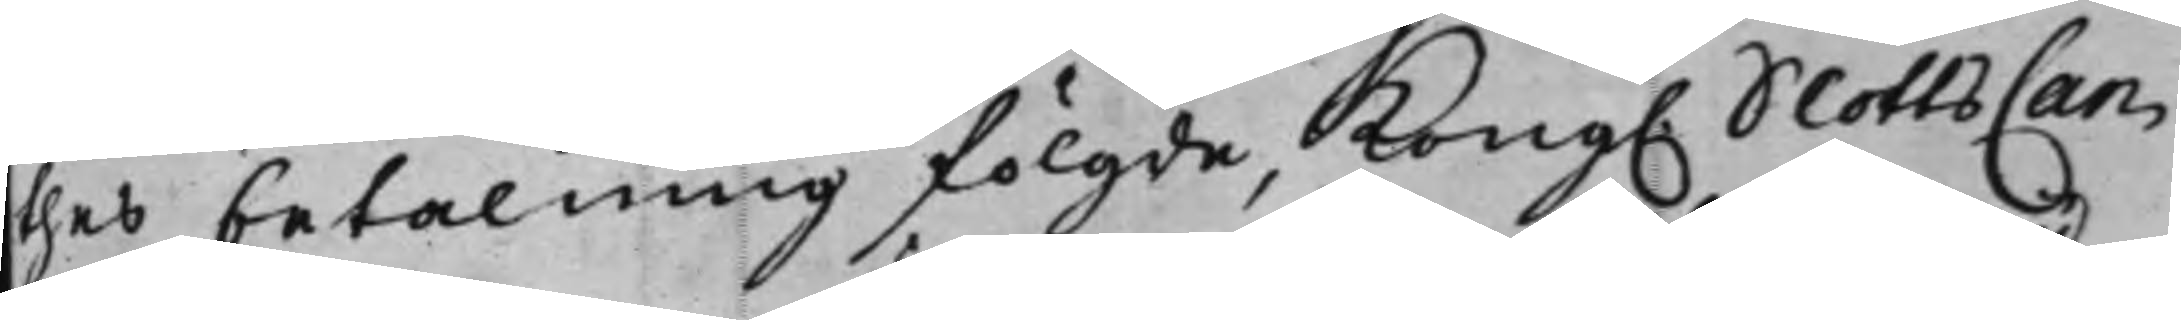thes betalning fölgde, Kong. SlottsCan¬
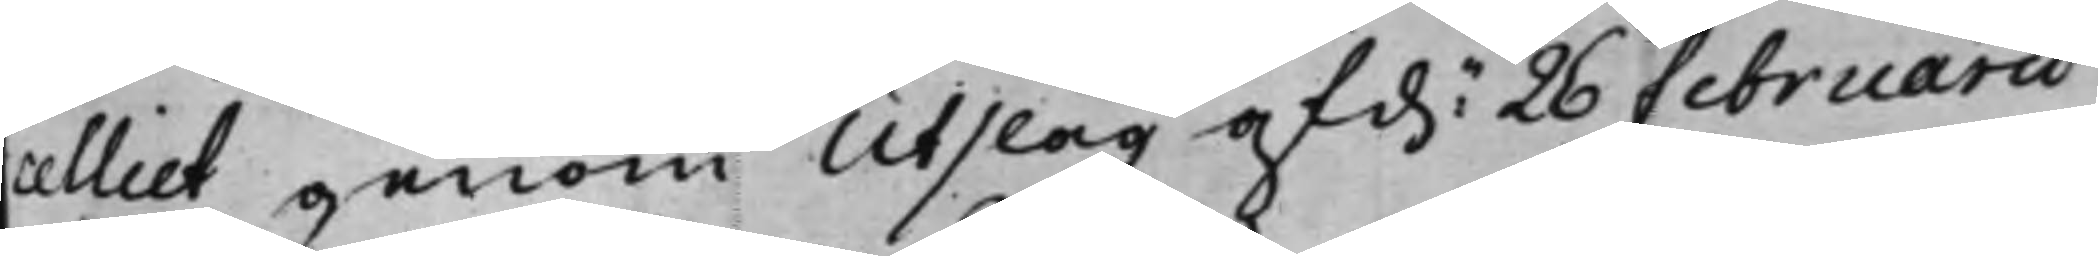celliet genom Utslag af d.n 26 Februarii
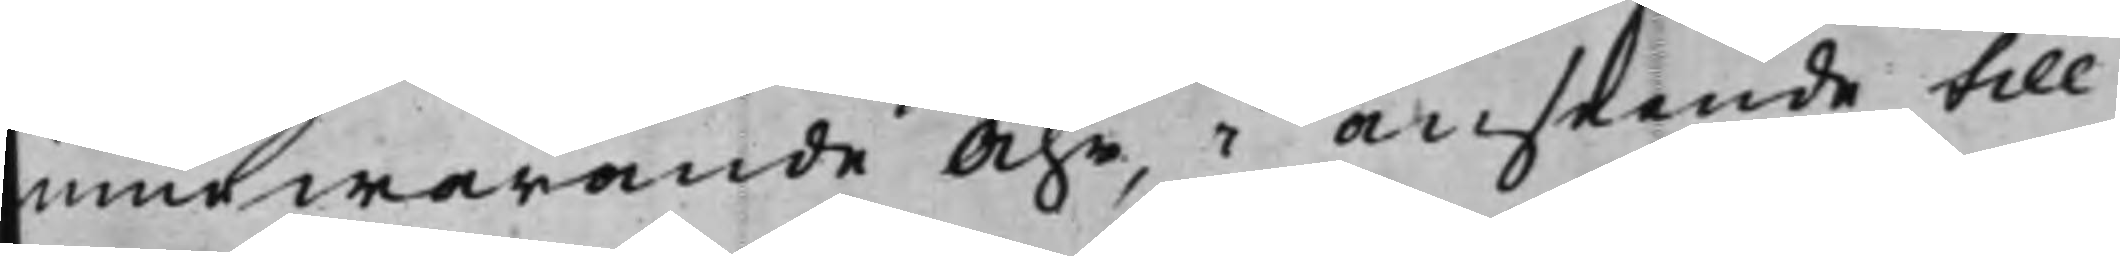innewarande Åhr, i anseende till
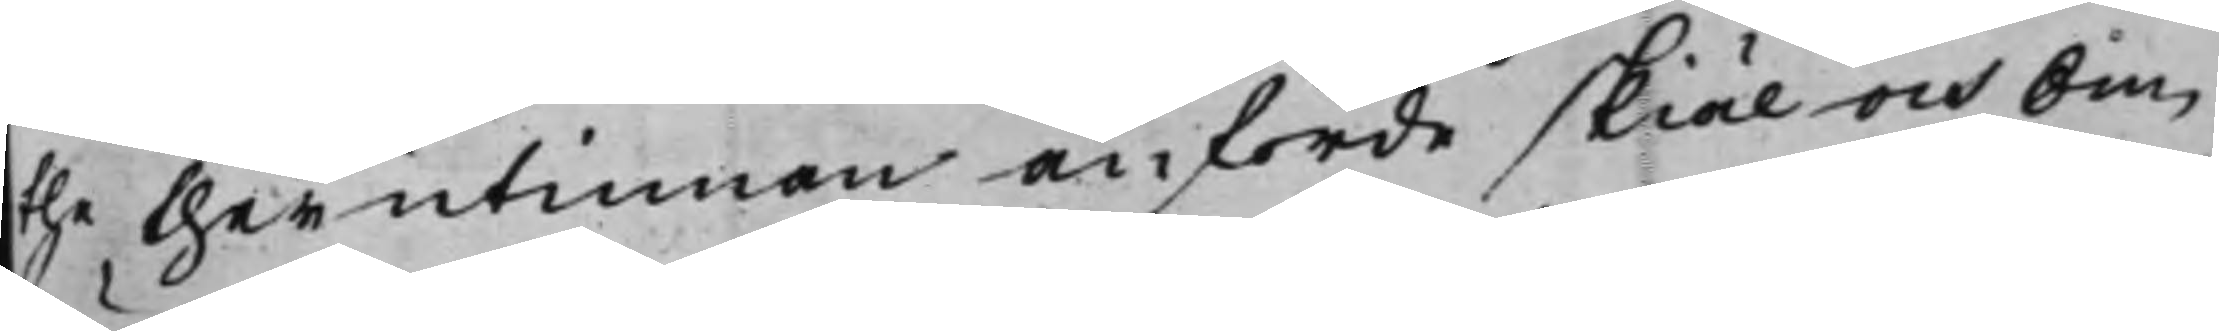the therutinnan anförde skiäl och om¬
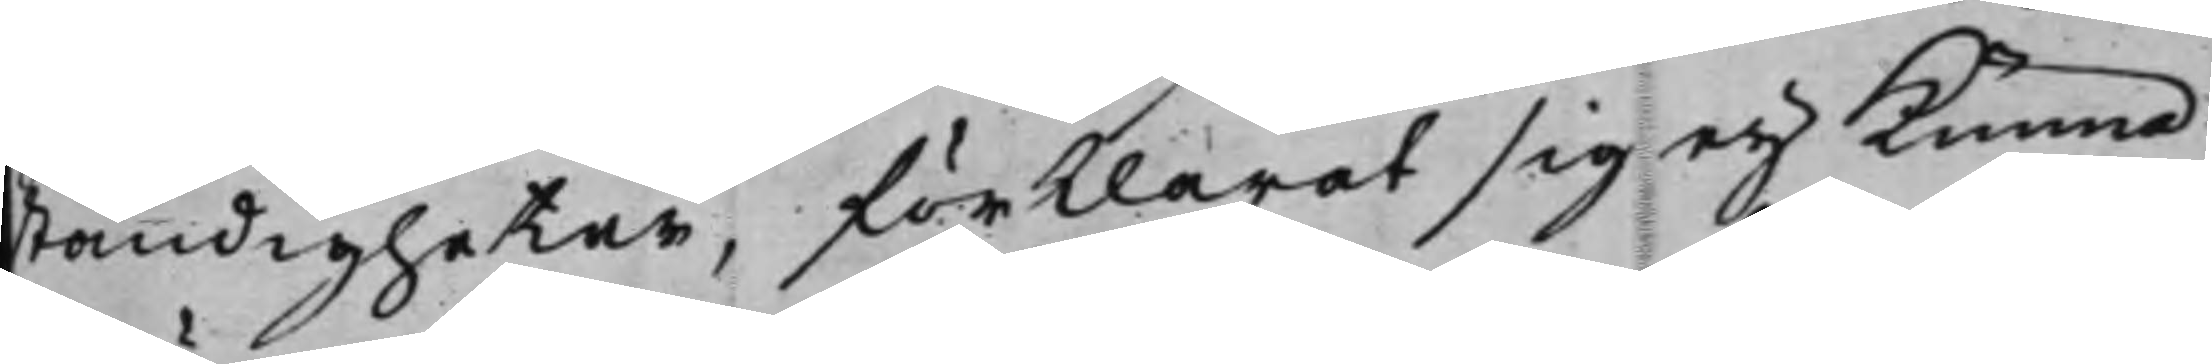ständigheter, förklarat sig eij kunna
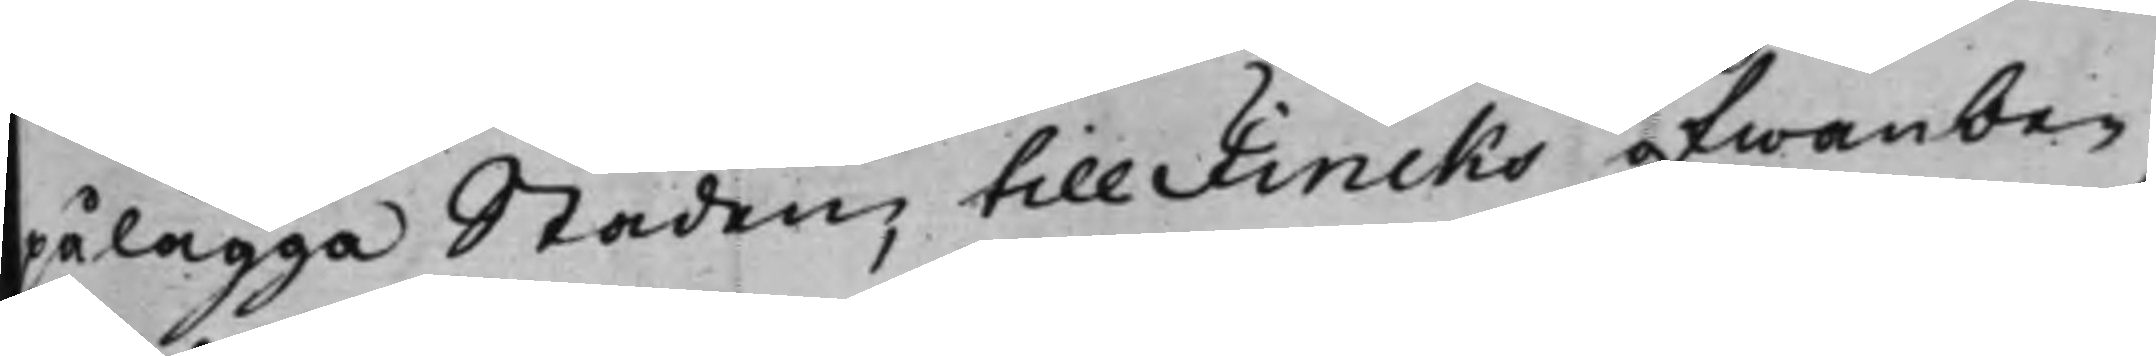pålägga Staden, till Fincks ofwanbe¬
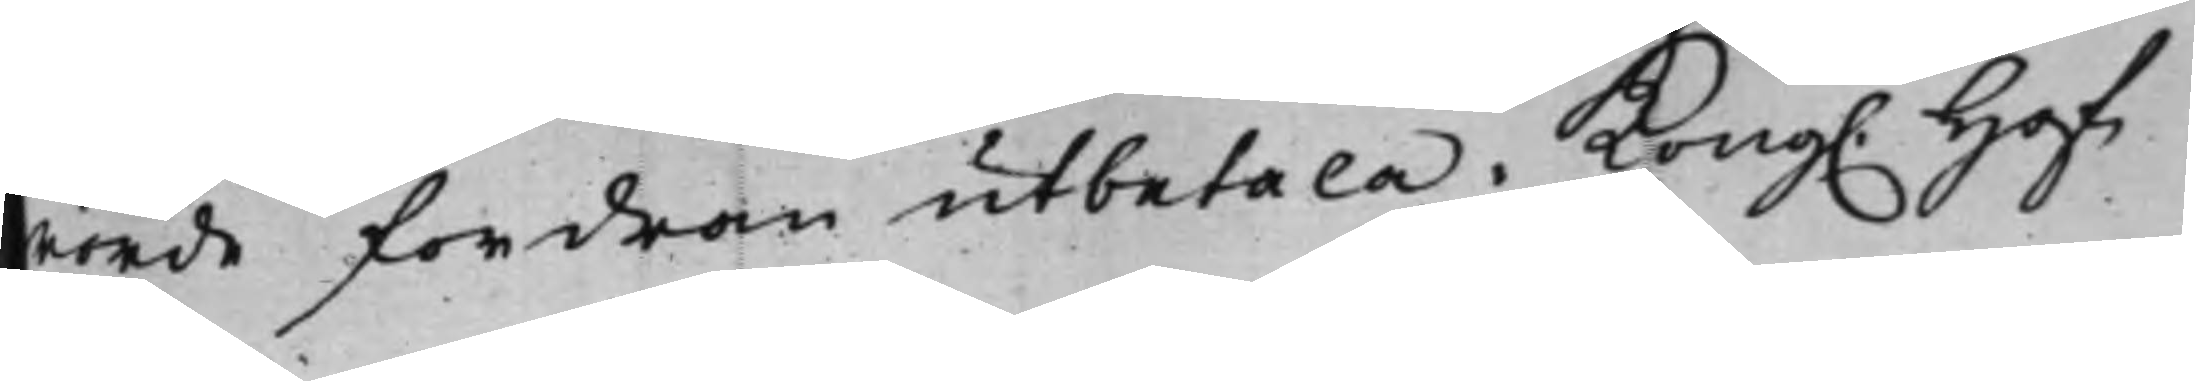rörde fordran utbetala. Kong. Hof¬
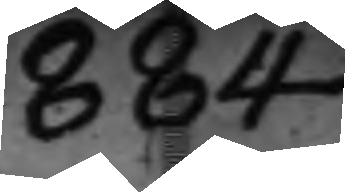884
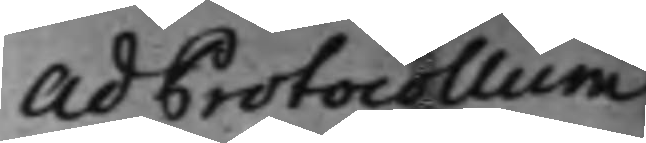Ad Protocollum
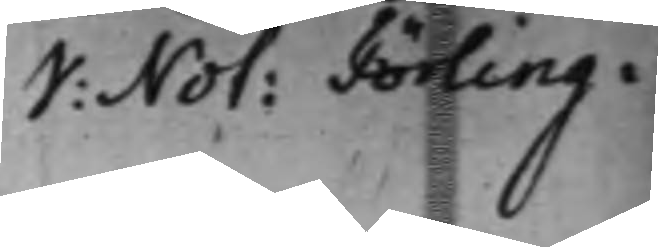V: Not: Törling.
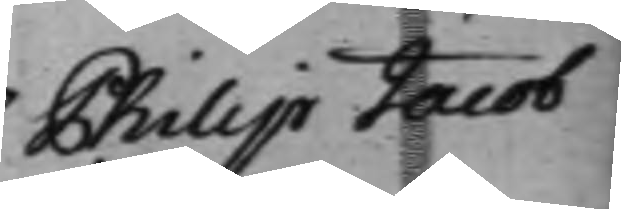Philip Jacob
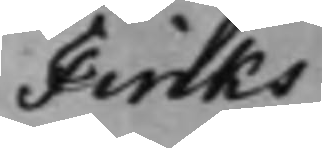Finks
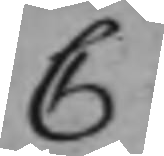C
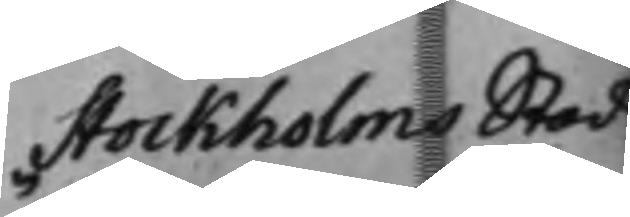Stockholms Stads
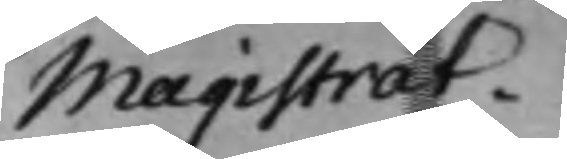Magistrat.
